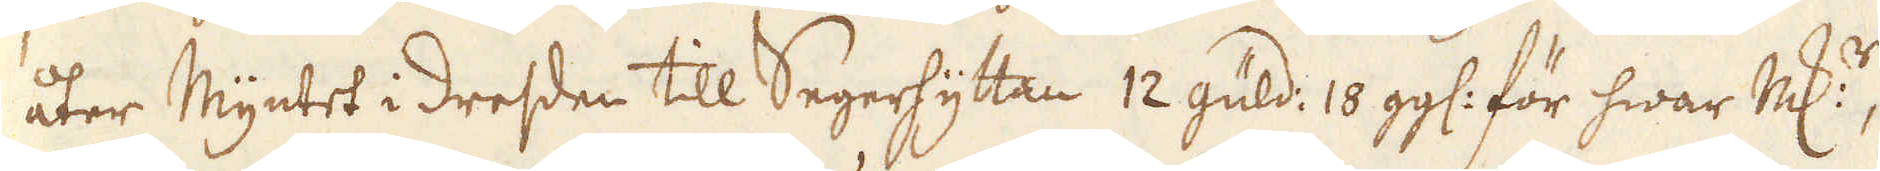åter Myntet i Dresden till Segerhyttan 12 güld: 10 gg: för hwar marker,
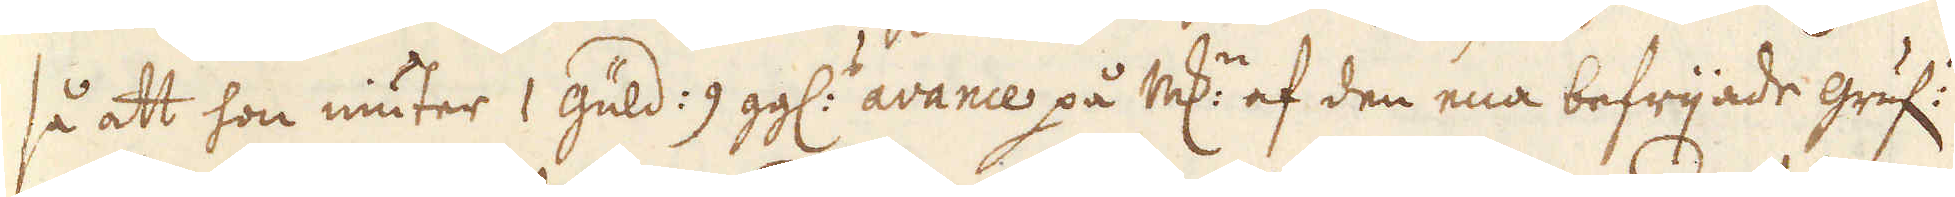så att hon niuter 1 güld: 9 gg: avance på marken af den ena befrijade gruf:n
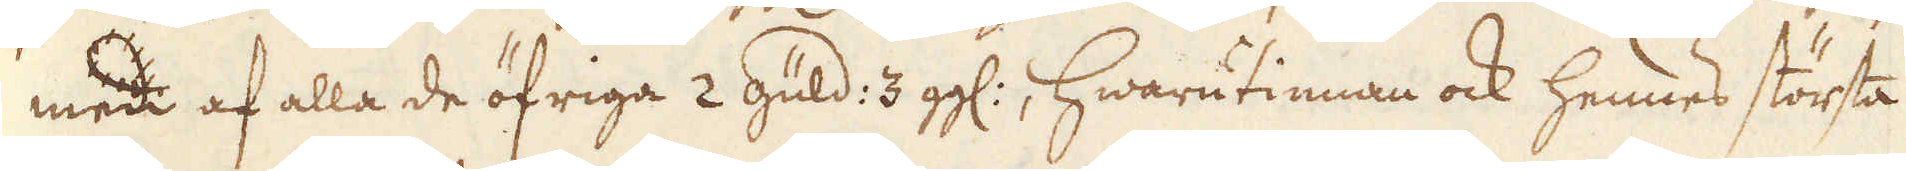men af alla de öfriga 2 Güld: 3 gg:, hwarutinnan ock hennes största
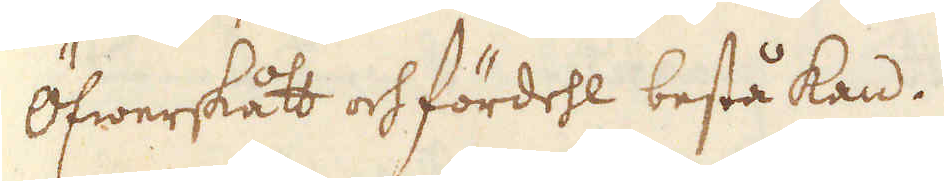Öfwerskått och fördehl bestå kan.
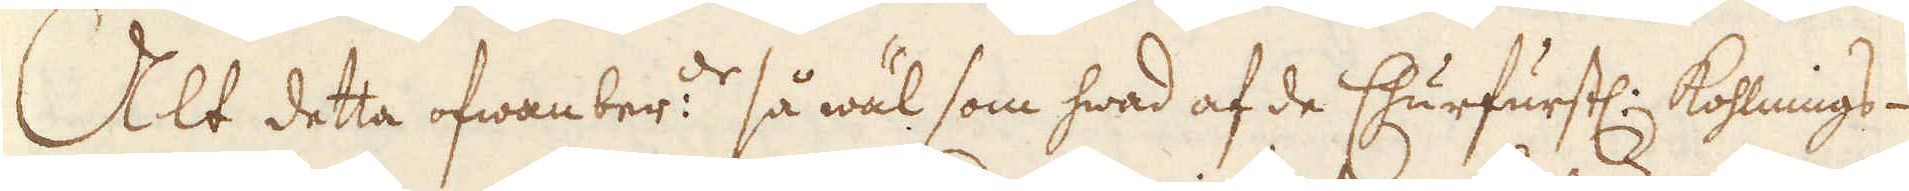Alt detta ofwanber:de så wäl som hwad af de Churfurstl: Kohlnings-
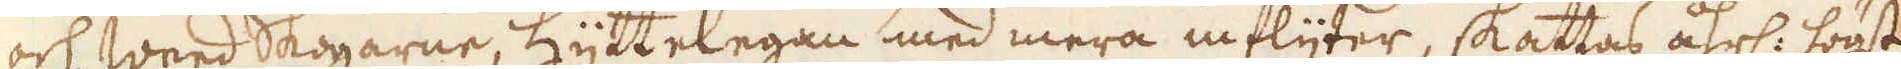och weed Skogarne, hyttelagan med mera inflyter, skattas åhrl: högst
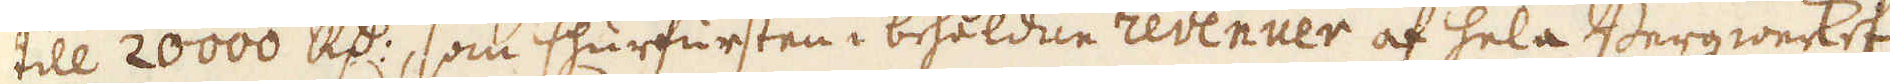till 20 000 R:dr, som Churfursten i behålden revenuer af hela Bergwerket
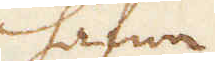hafwa
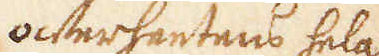öfwerhetens hela
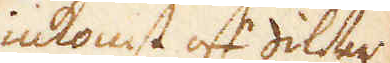inkomst af silfwer-
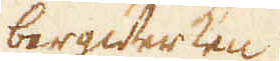bergwerken
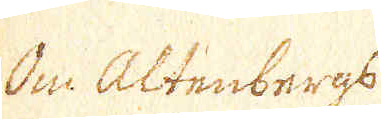Om Altenbergs
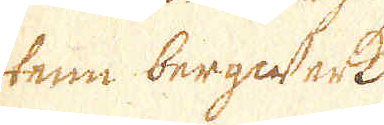tenn bergwerk
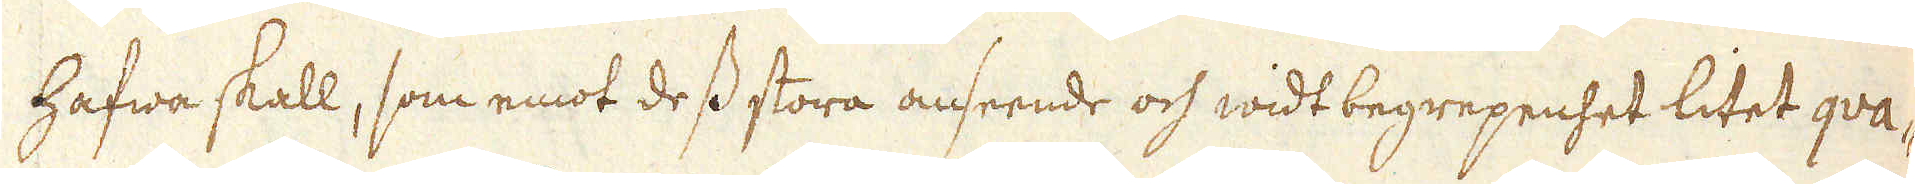hafwa skall, som emot dess stora anseende och widt begrepenhet litet qva-
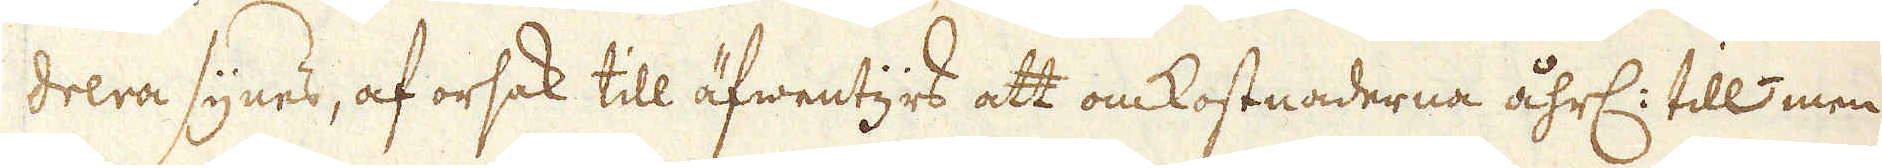drera synes, af orsak till äfwentyrs att omkostnaderna åhrl: till men
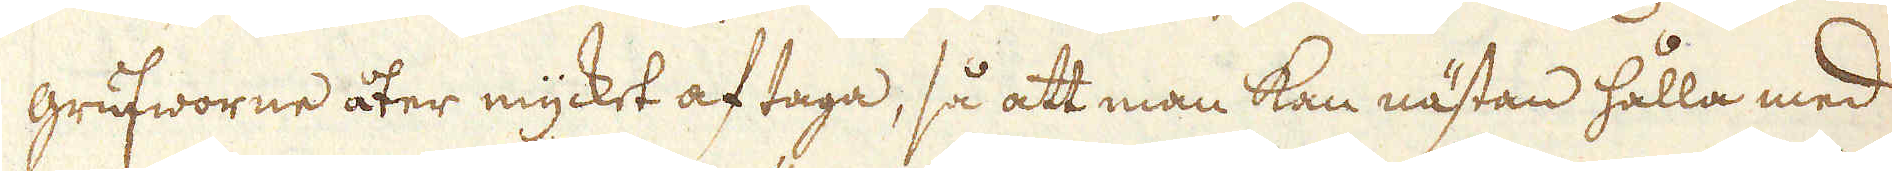grufworne åter mycket af taga, så att man kan nästan hålla med
